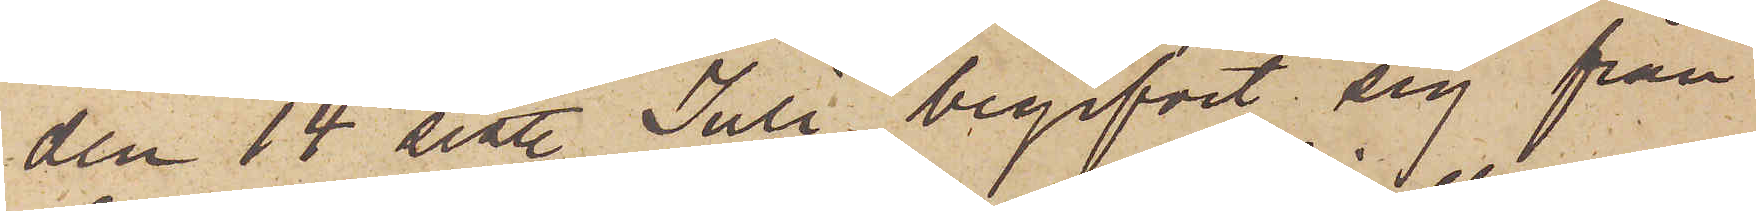den 14 sist. Juli begifvit sig från
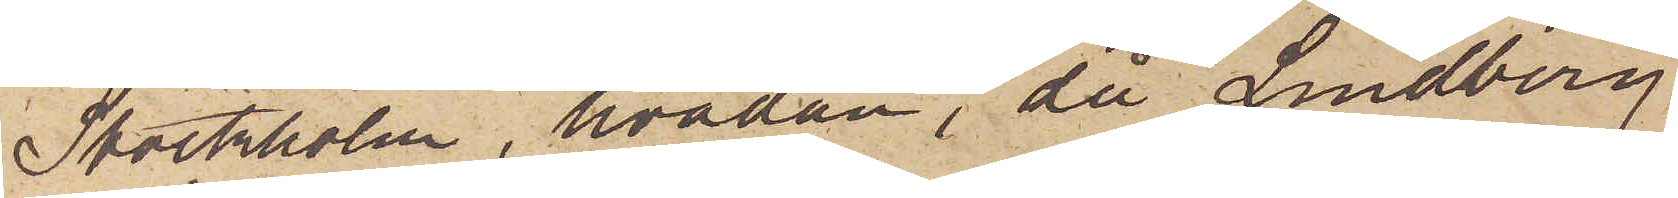Stockholm, hvadan, då Lindberg,
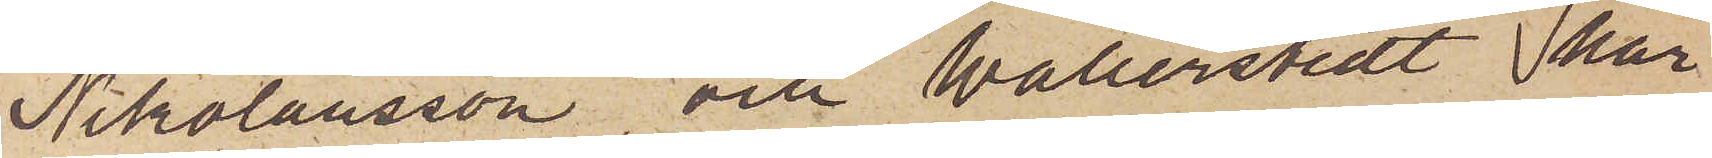Nikolausson och Wallerstedt här
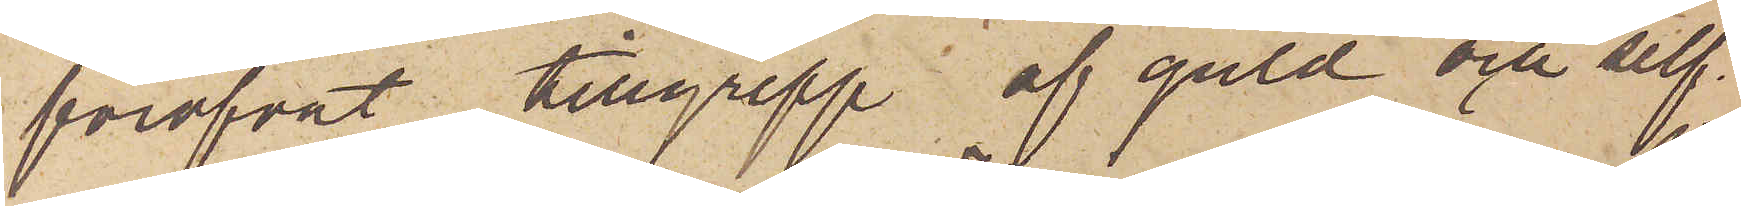föröfvat tillgrepp af guld och silf¬
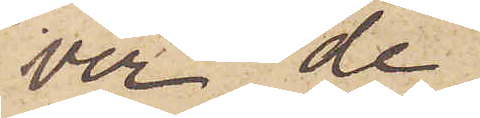ver, de
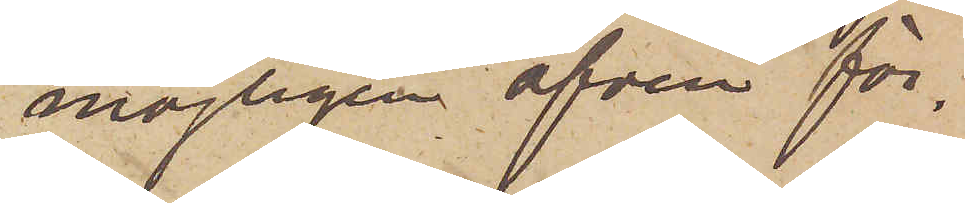möjligen äfven för¬
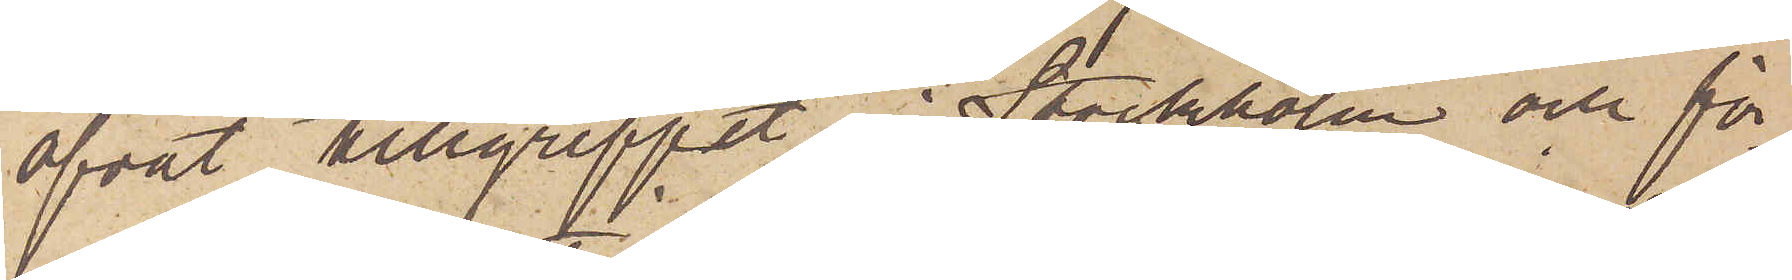öfvat tillgreppet i Stockholm och för¬
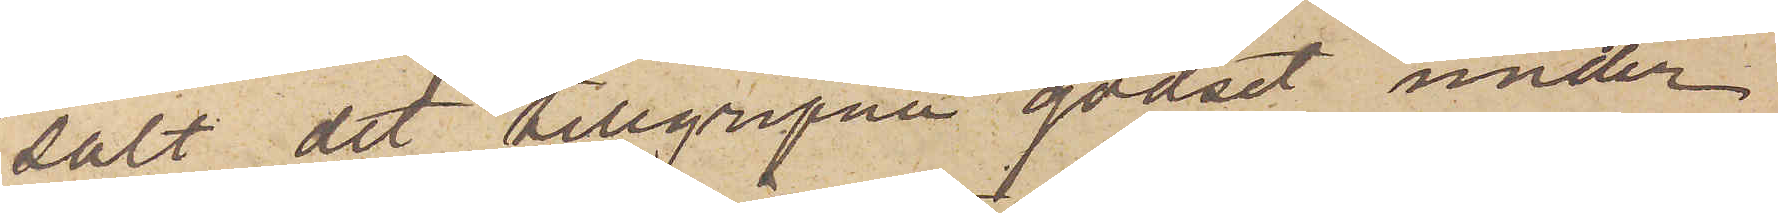sålt det tillgripne godset under
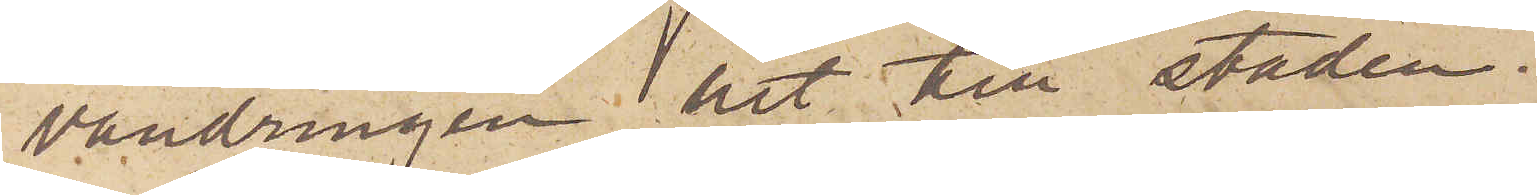vandringen hit till staden.
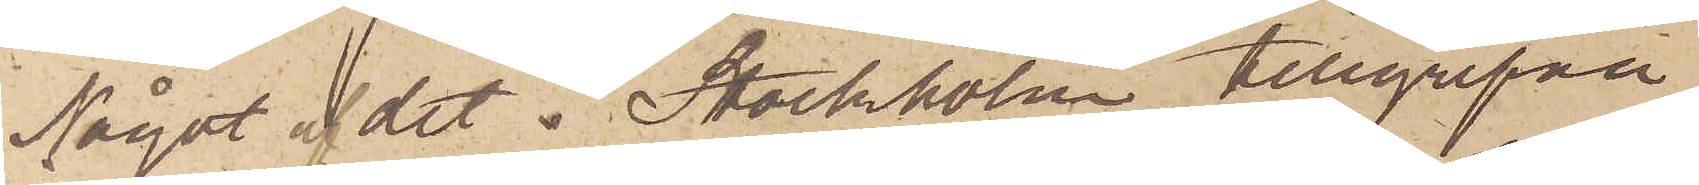Något af  det i Stockholm tillgripne
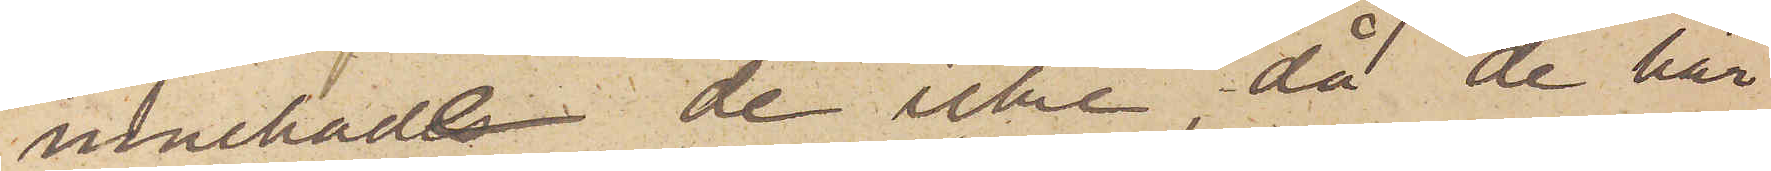innehade de icke då de här
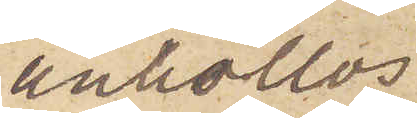anhöllos.
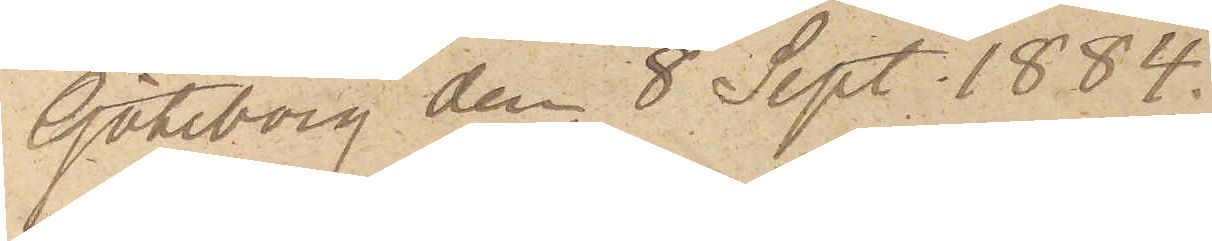Göteborg den 8 Sept. 1884.
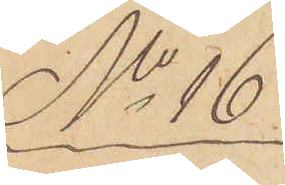No 16
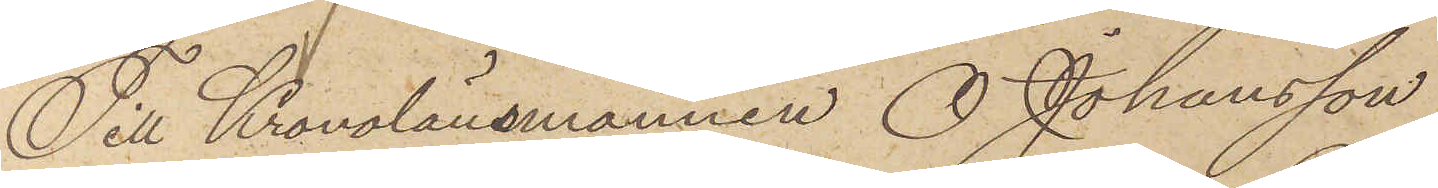Till Kronolänsmannen O. Johansson
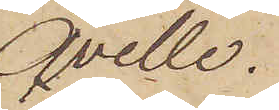Qville.
